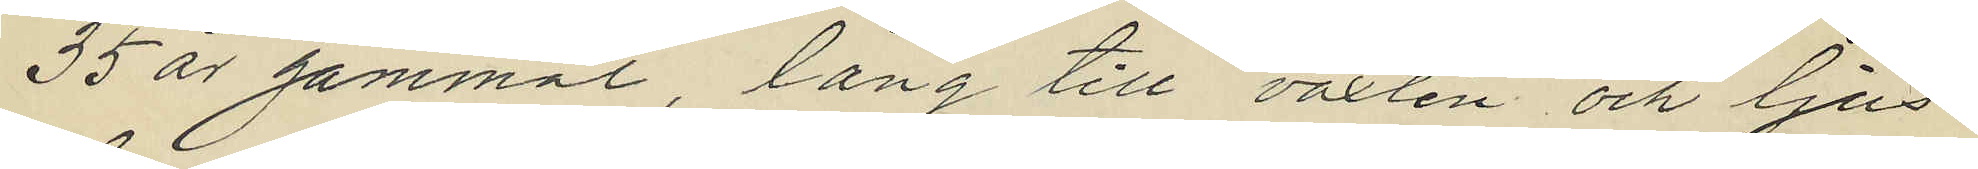35 år gammal, lång till växten och ljus¬
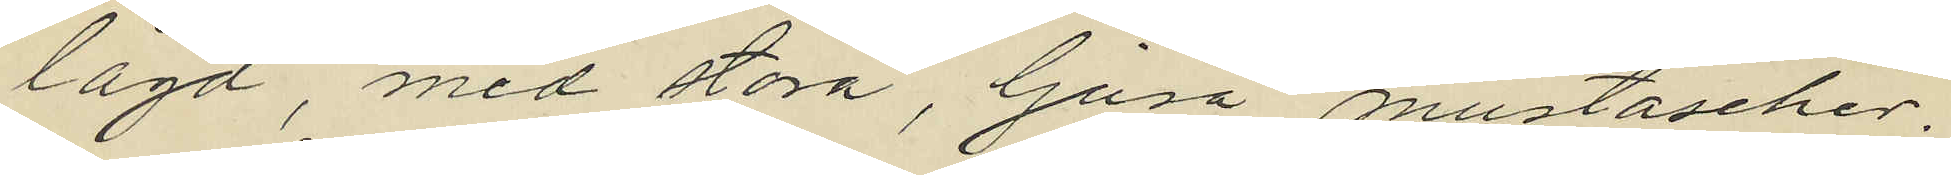lagd, med stora, ljusa mustascher.
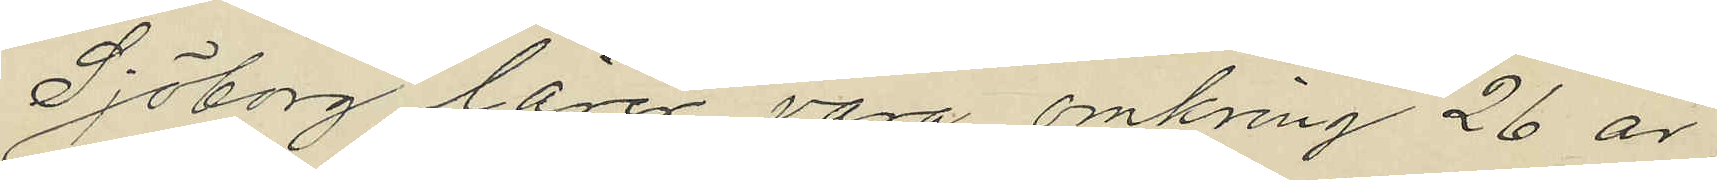Sjöborg lärer vara omkring 26 år
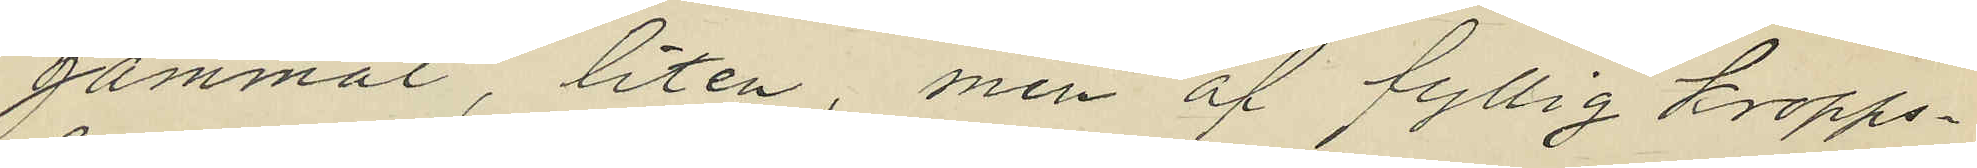gammal, liten, men af fyllig kropps¬
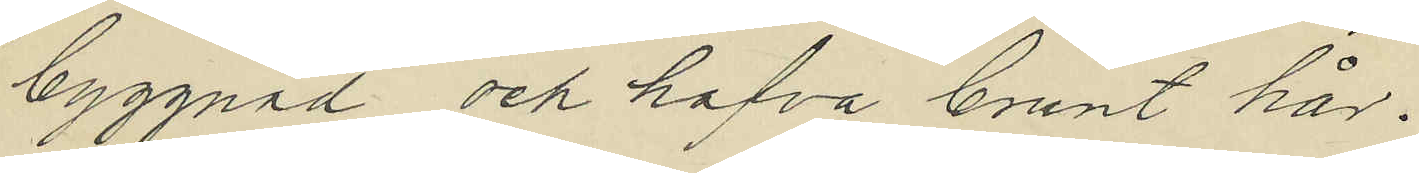byggnad och hafva brunt hår.
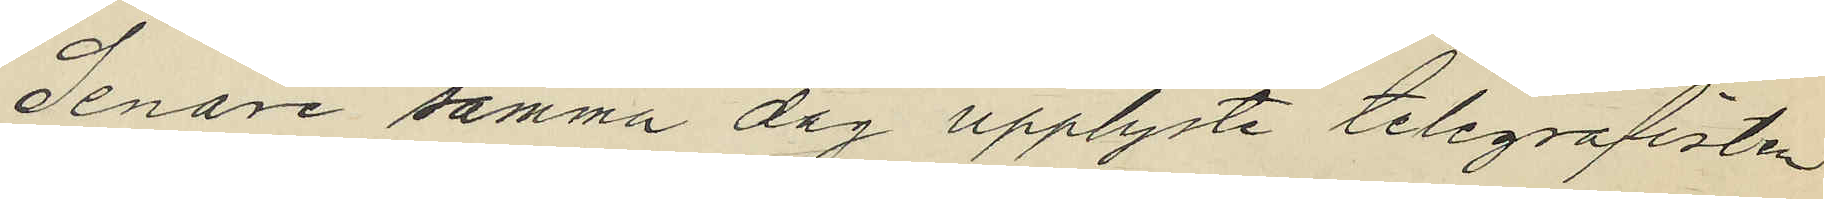Senare samma dag upplyste telegrafisten
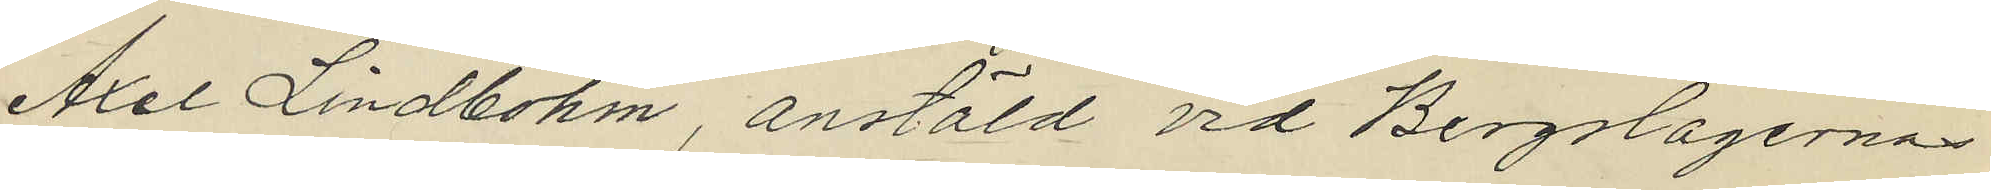Axel Lindbohm anstäld vid Bergslagernas
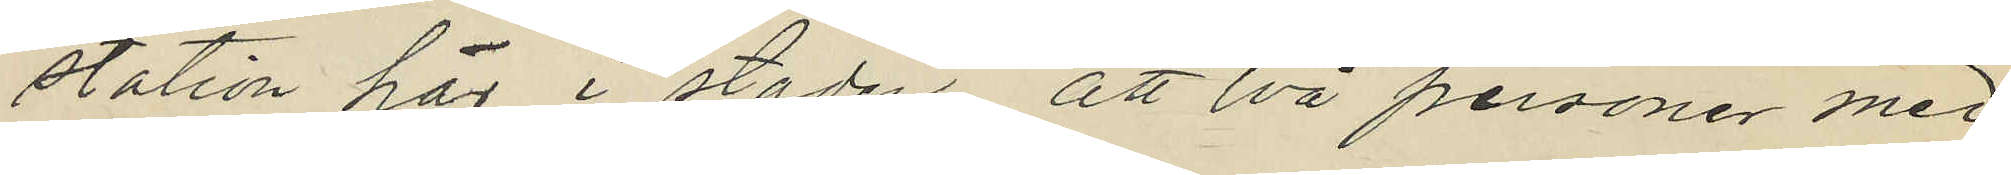station här i staden, att två personer med
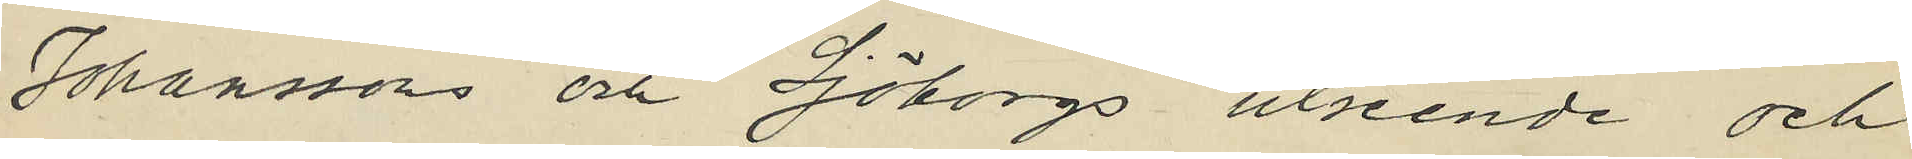Johanssons och Sjöborgs utseende och
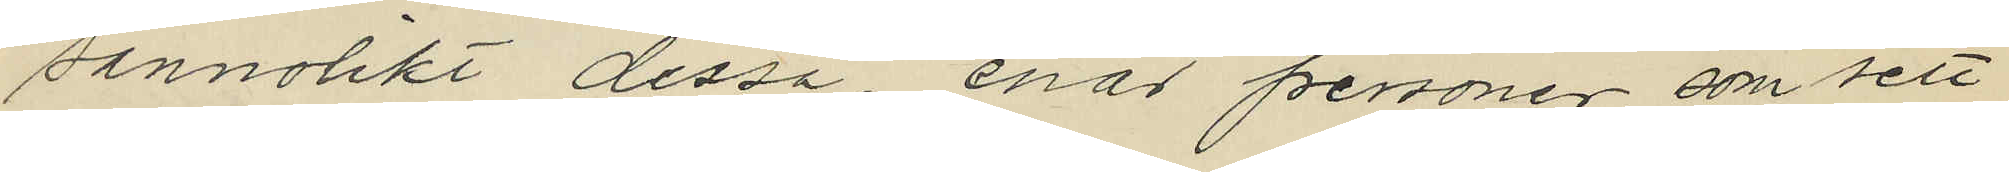sannolikt dessa, enär personer som sett
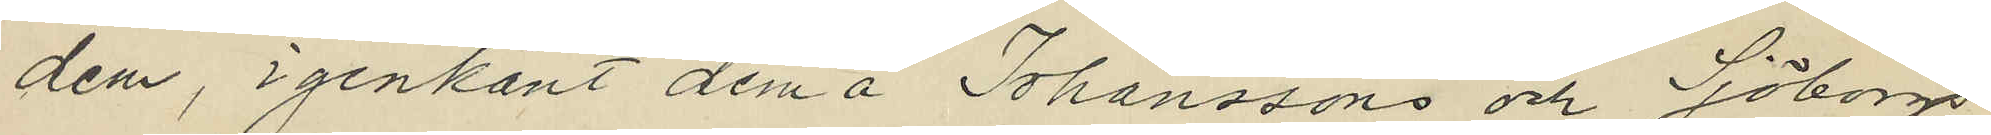dem, igenkänt dem å Johanssons och Sjöborgs
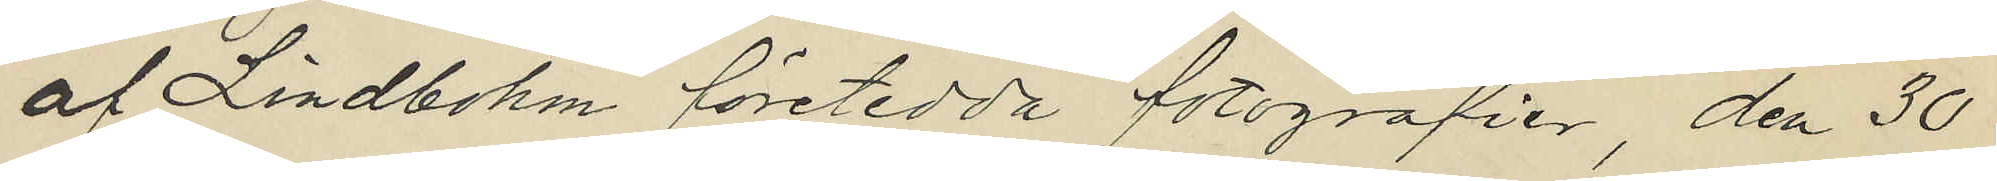af Lindbohm företedda fotografier, den 30
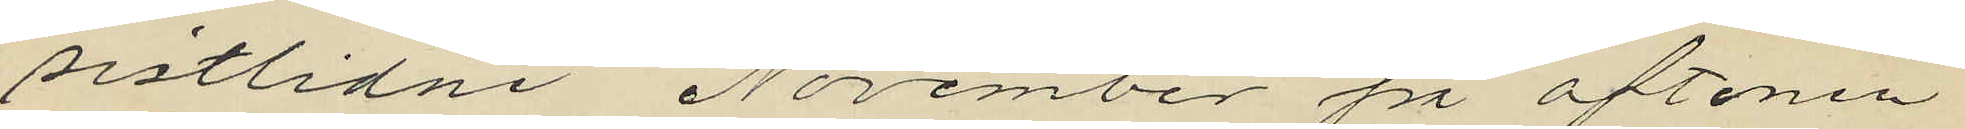sistlidne November på aftonen
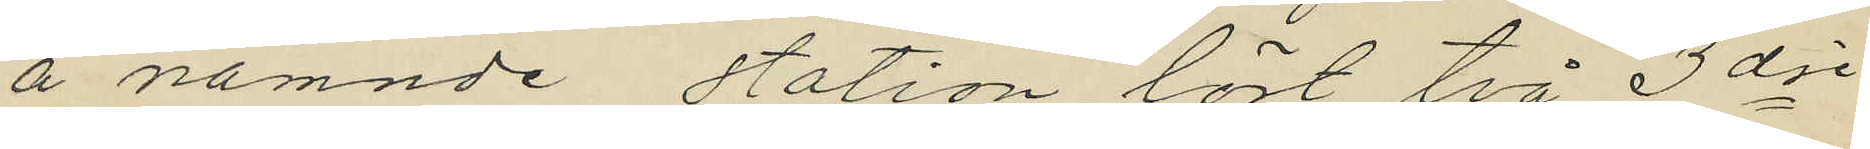å nämnde station löst två 3dje
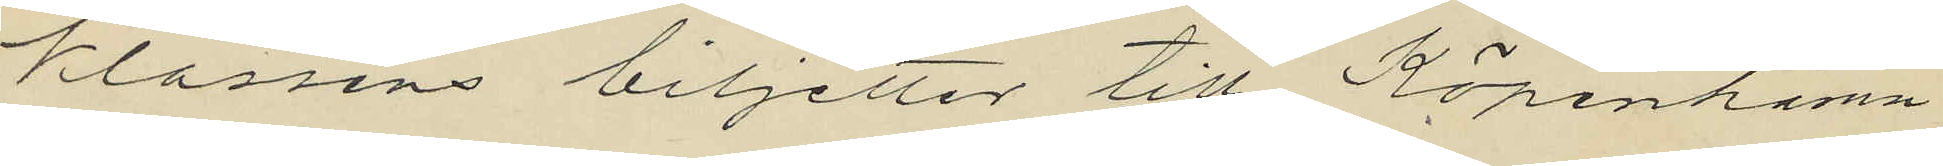klassens biljetter till Köpenhamn
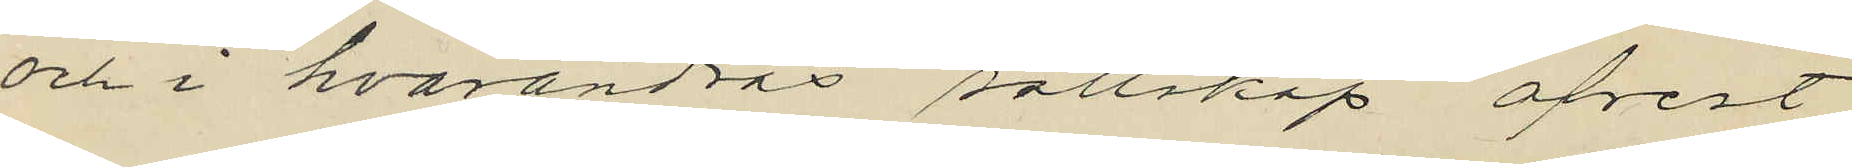och i hvarandras sällskap afrest
